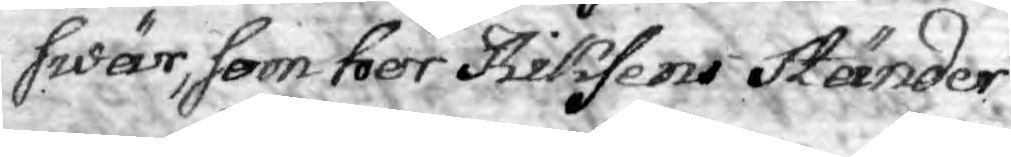swär, som har Riksens Ständer
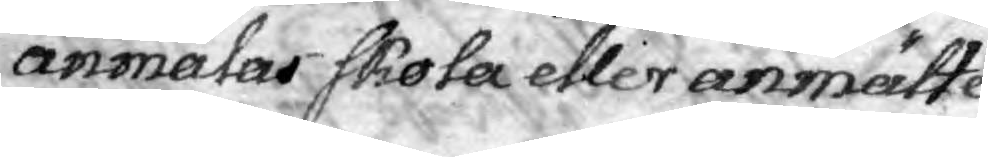anmälas skola eller anmälte
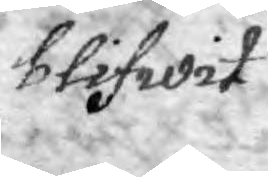blifwit
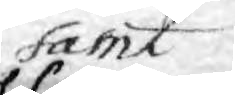samt
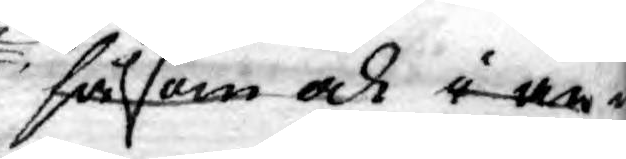såsom och i an¬
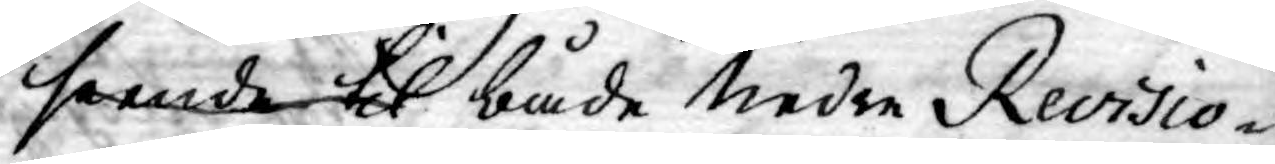seende til både Nedre Revisio¬
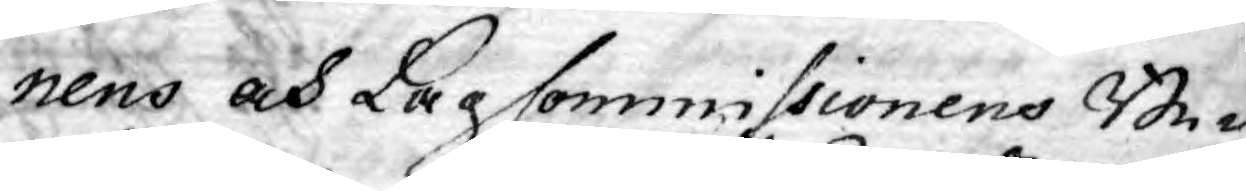nens och Lag Commissionens Be¬
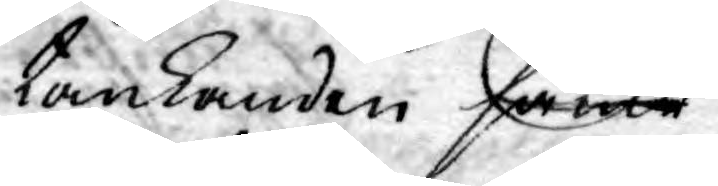tänkanden så at
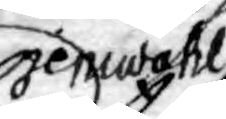jemwähl
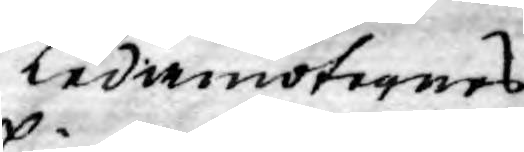Ledamöternes
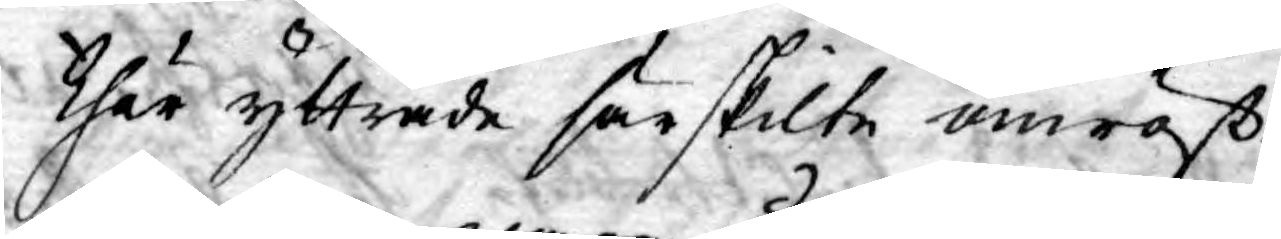thär yttrade särskilte omröst¬
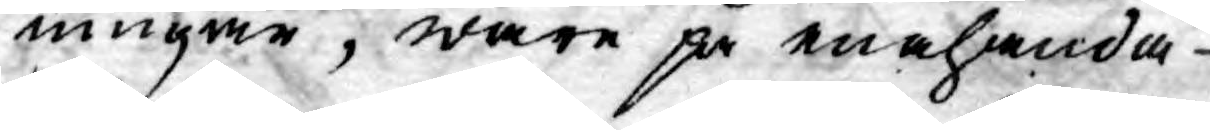ningar, ware på enahanda
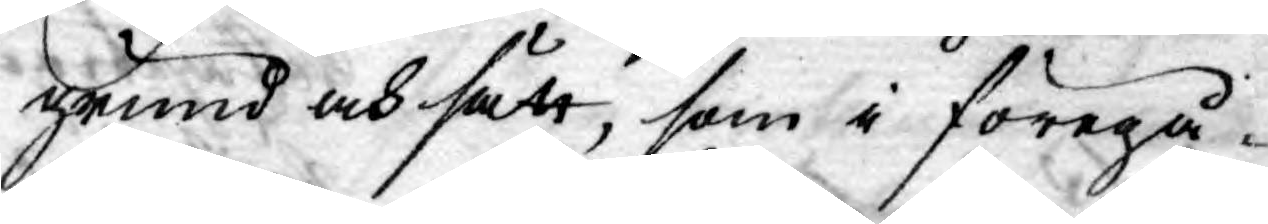grund och sätt, som i föregå¬
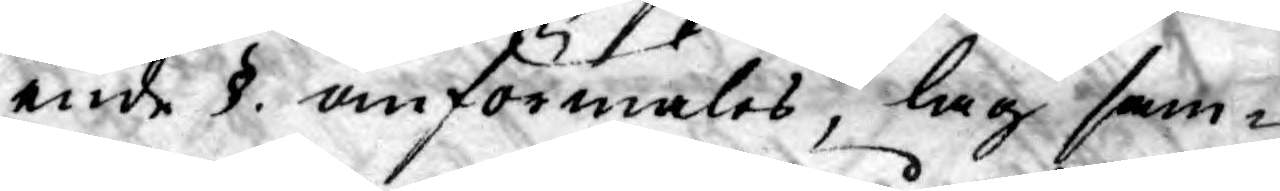ende §. omförmäles, lag sam¬
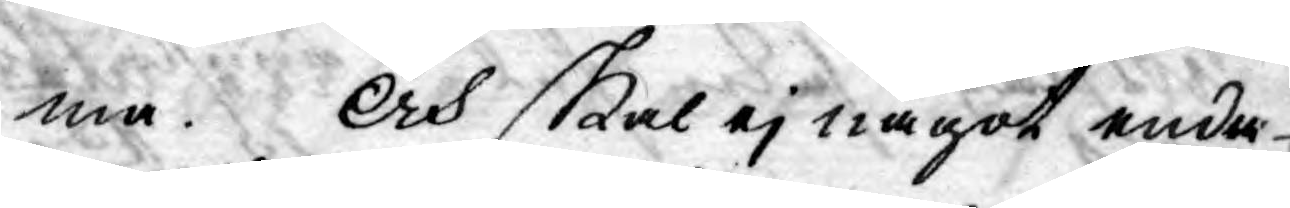ma. Och skal ej något enda
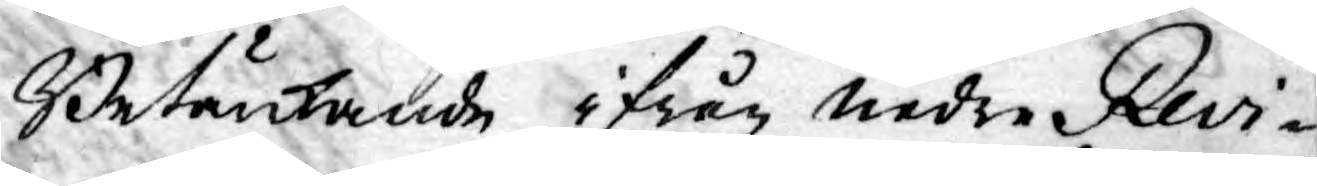Betänkande ifrån nedre Revi¬
